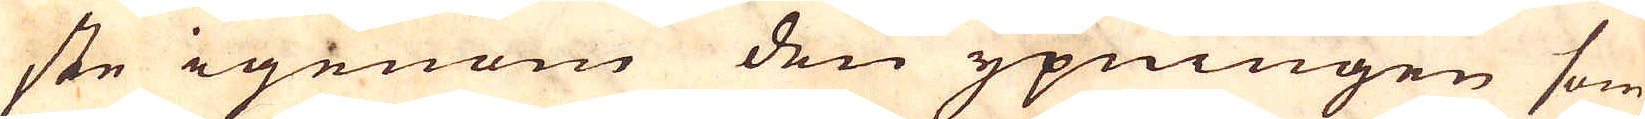ste igenom den ypningen som
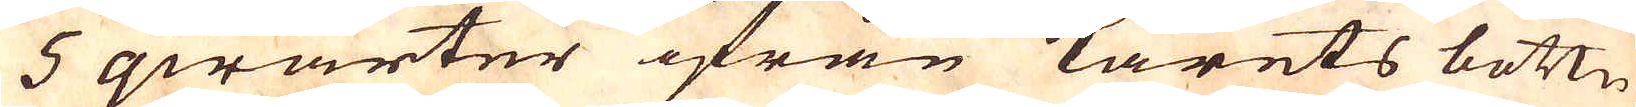5 qwarter ifrån karets bottn
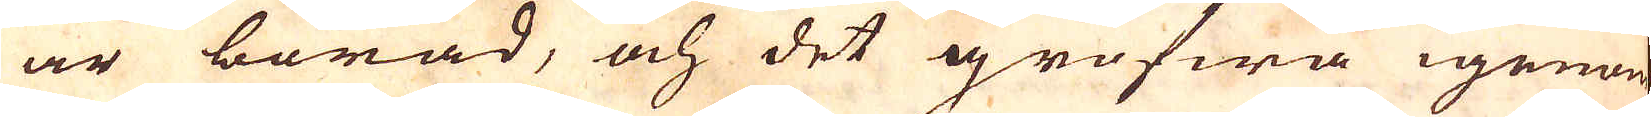är borad, och det grofwa igenom
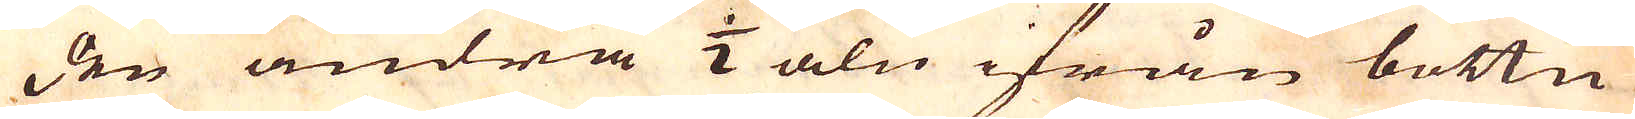den andra 1/2 aln ifrån bottn,
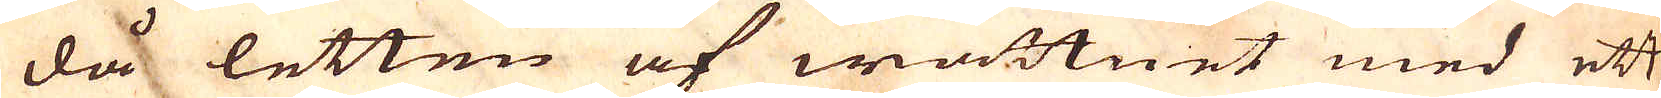då letten af wattnet med ett
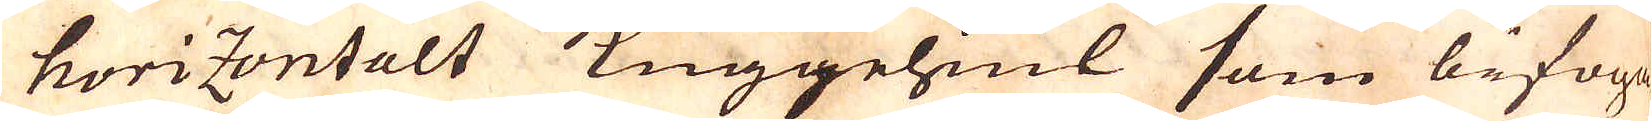horizontalt Kuggehiul som bifoga-
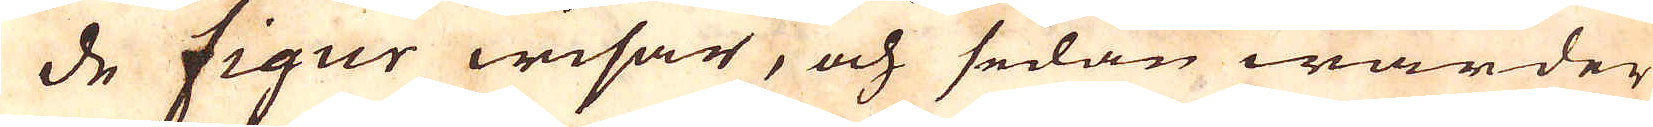de figur wisar, och sedan warder
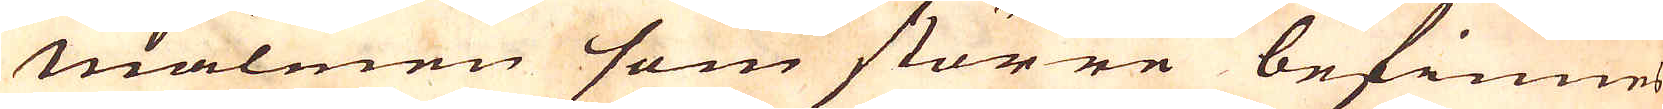malmen som större befinnes
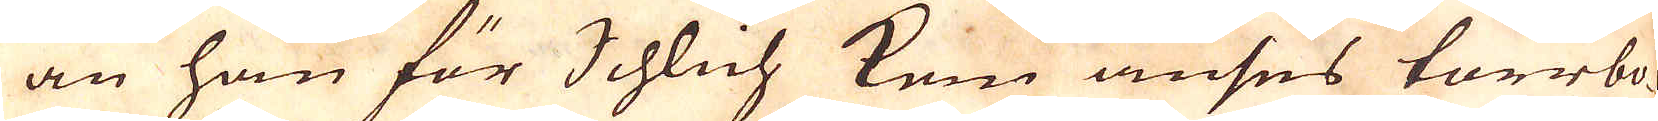än han för Schlich kan anses torrbo-
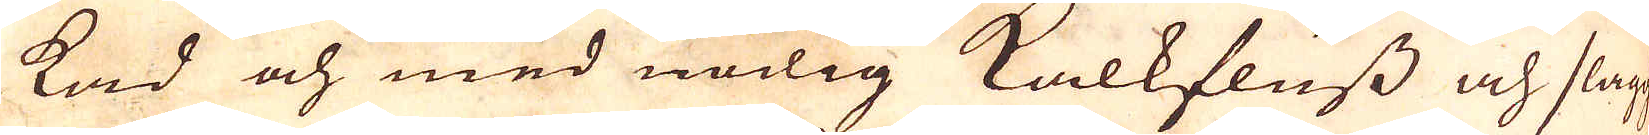kad och med nödig kalkfluss och slagg
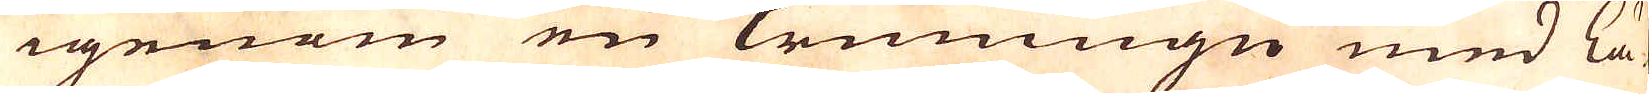igenom en krumugn med lä-
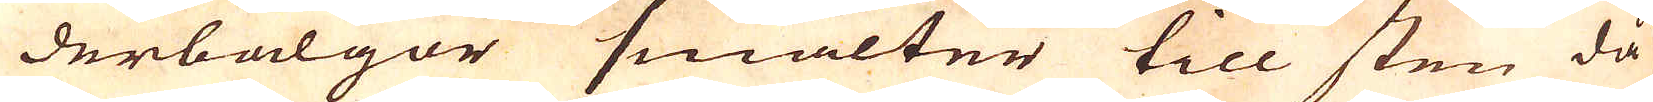derbälgor smälter till sten då
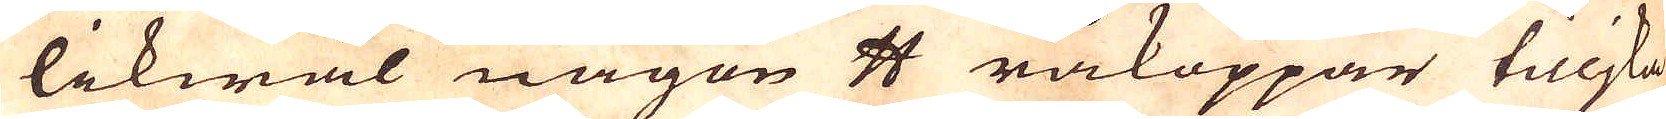likwäl någon skålpund råkoppar tilljka
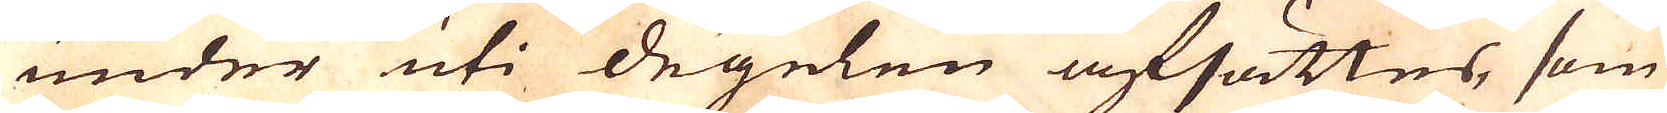under uti degelen afsättes, som
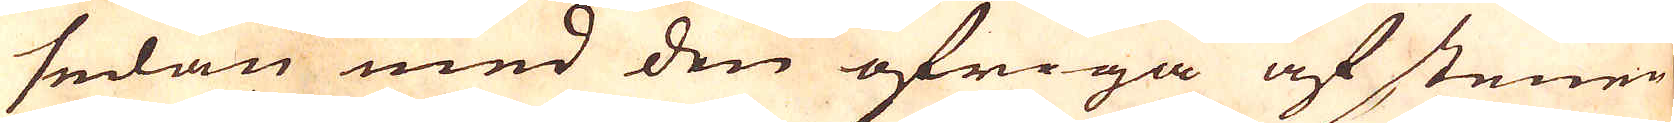sedan med den öfriga af stenen
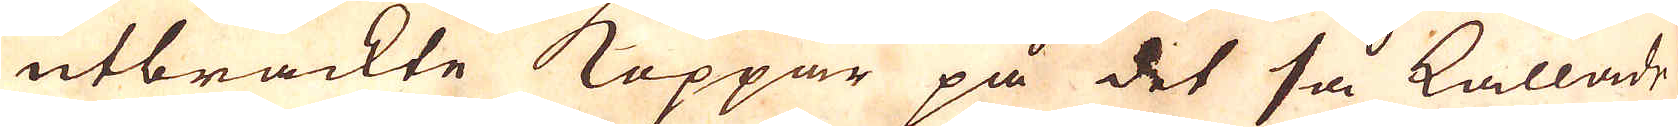utbrackte Koppar på det så kallade
